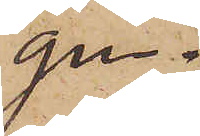gen.
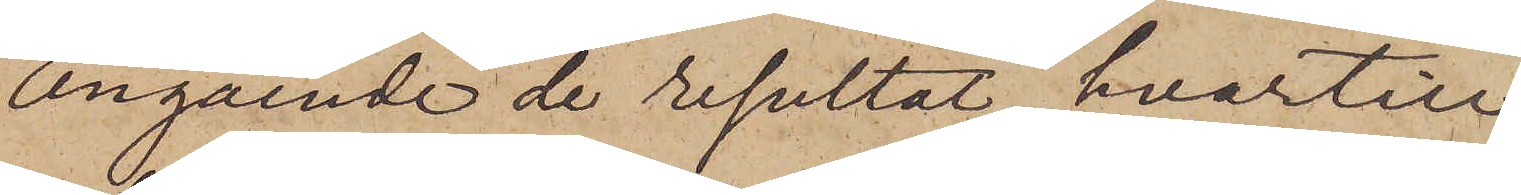Angående de resultat, hvartill
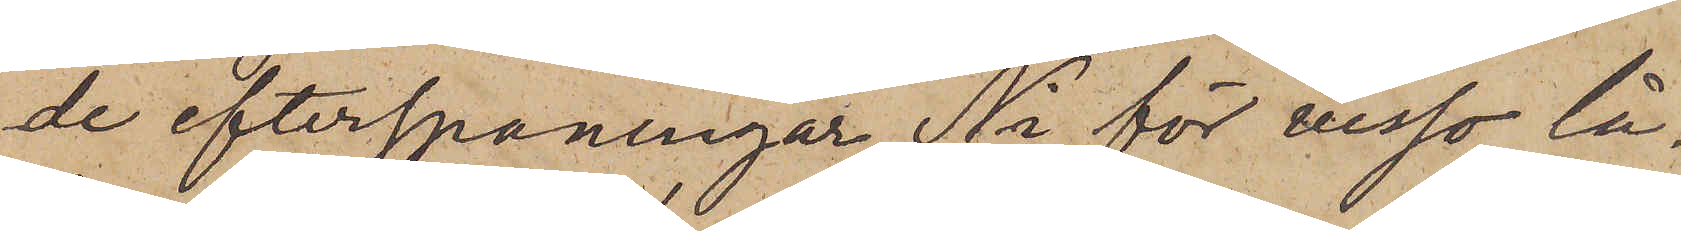de efterspaningar, Ni för visso lå¬
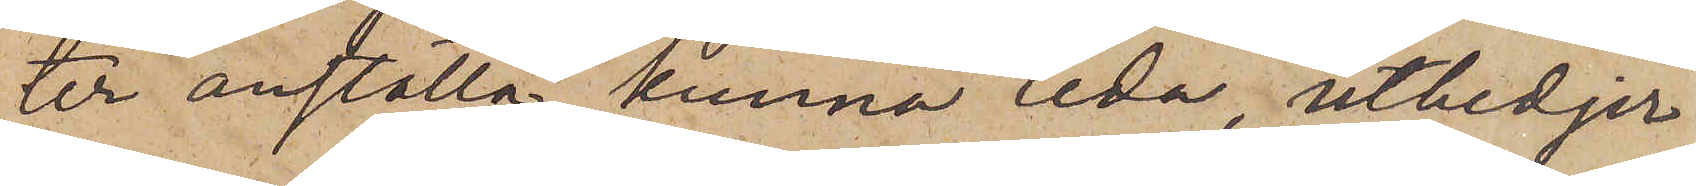ter anställa, kunna leda, utbedjer
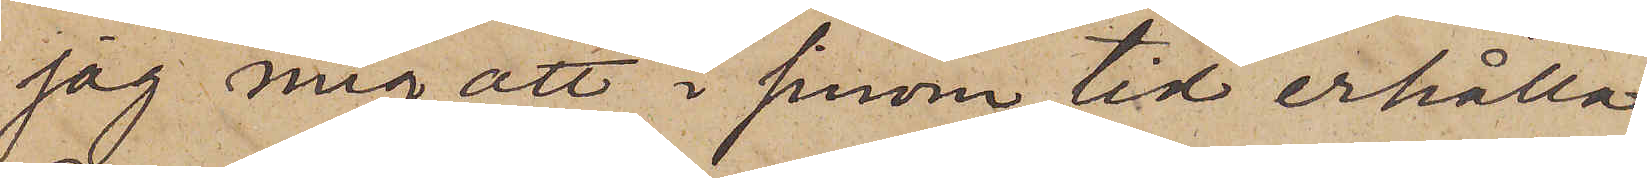jag mig att i sinom tid erhålla
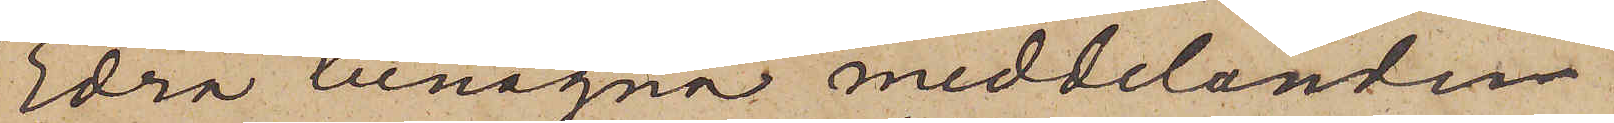Edra benägna meddelanden.
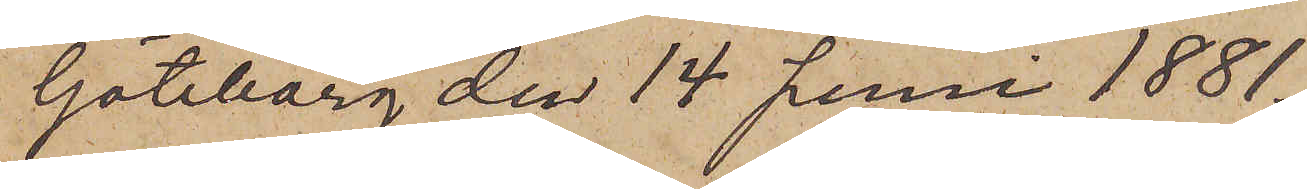Göteborg den 14 Juni 1881
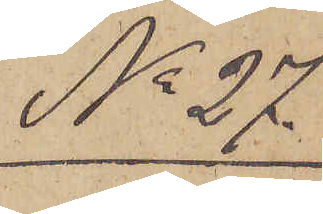No 27
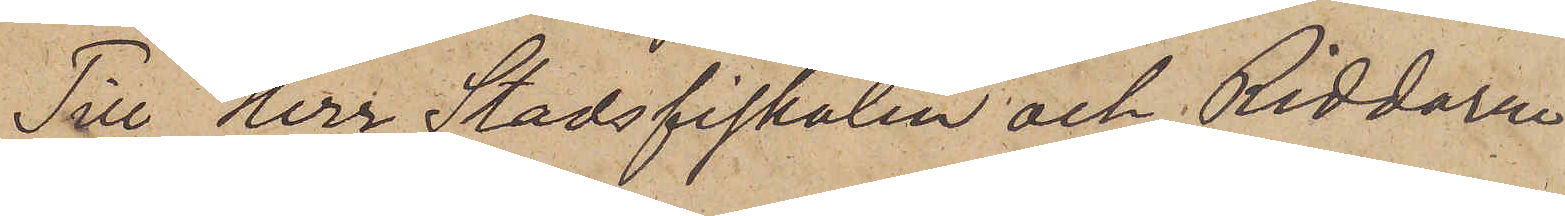Till Herr Stadsfiskalen och Riddaren
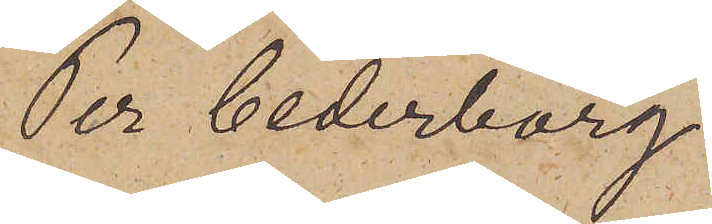Per Cederborg.
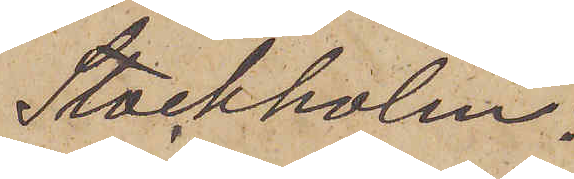Stockholm.
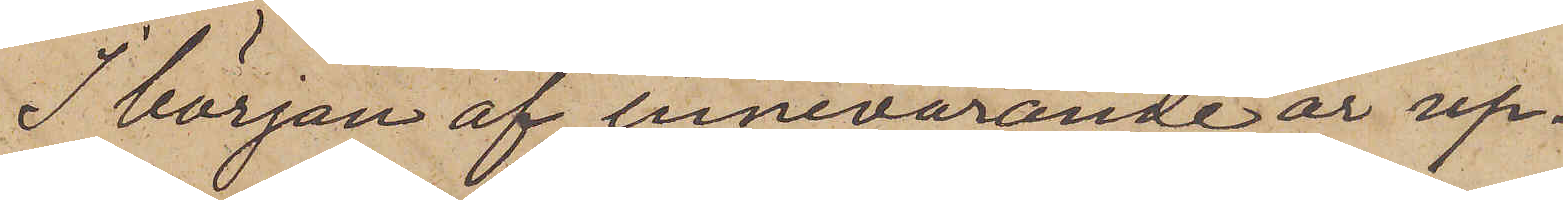I början af innevarande år up¬
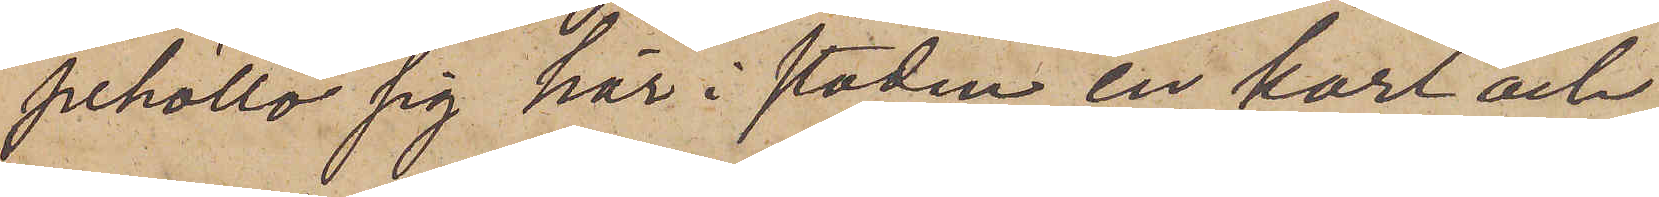pehöllo sig här i staden en karl och
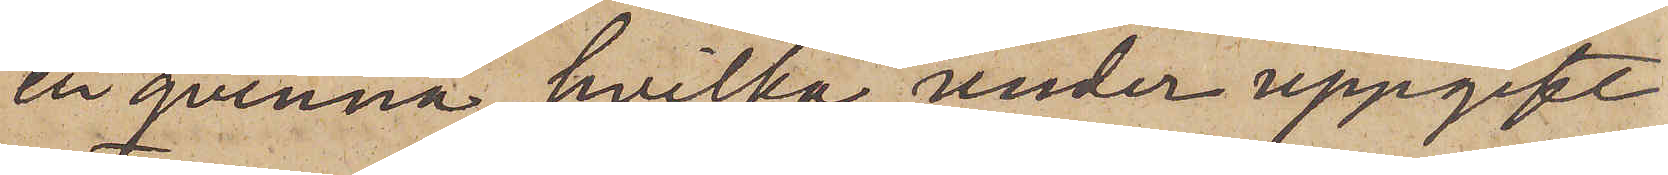en qvinna, hvilka under uppgift
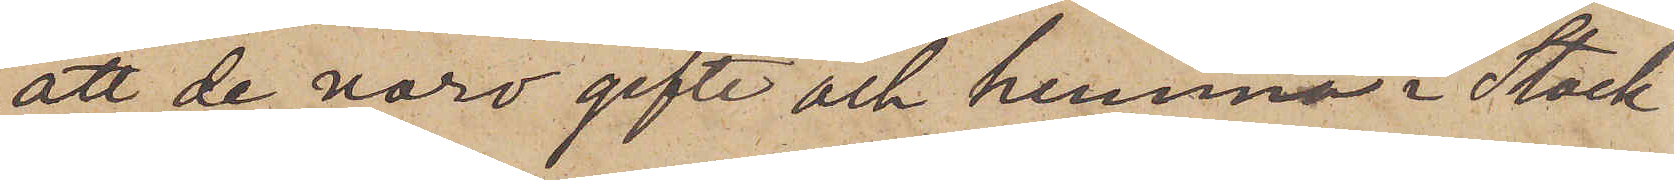att de voro gifte och hemma i Stock¬
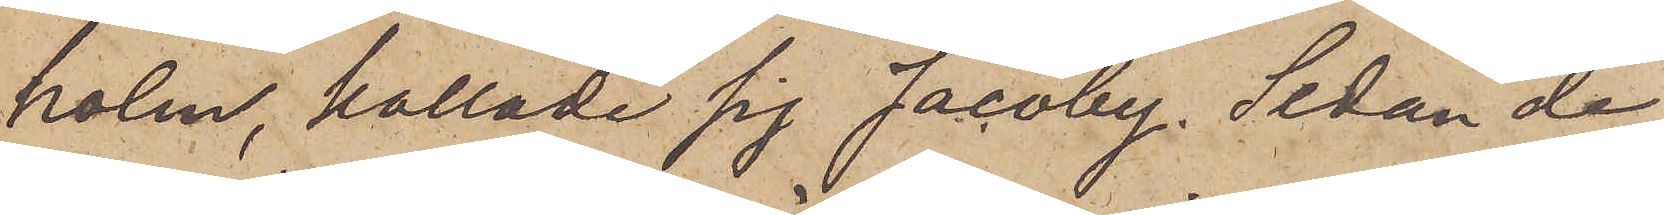holm, kallade sig Jacoby. Sedan de
